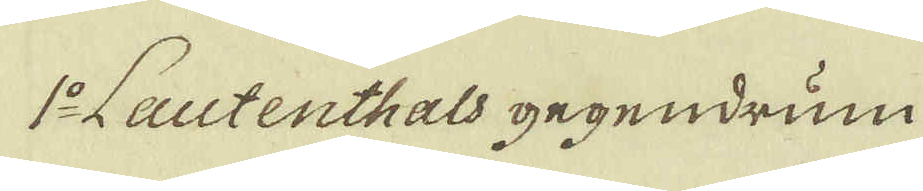1:o Lautenthals gegendrum
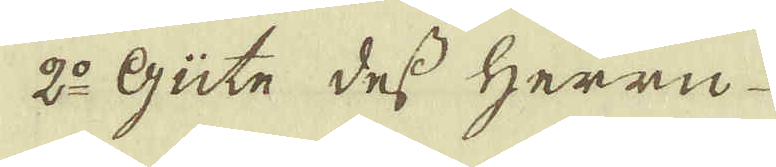2:o Güte dess Herrn
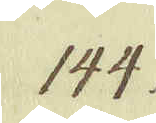144.
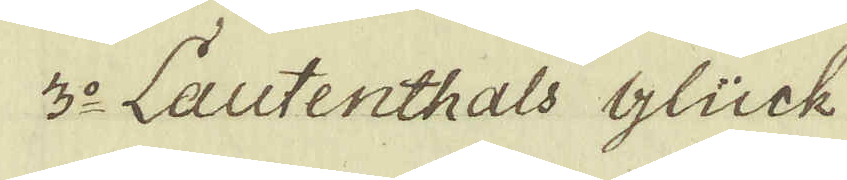3:o Lautenthals Glück
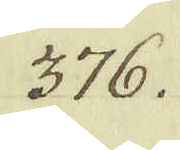376.
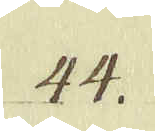44.
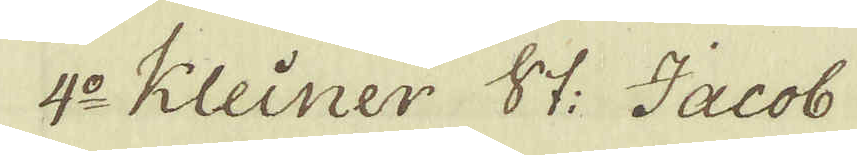4:o Kleiner St: Jacob
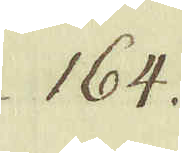164.
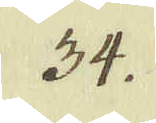34.
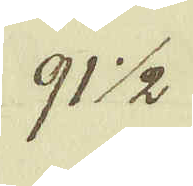91 1/2.
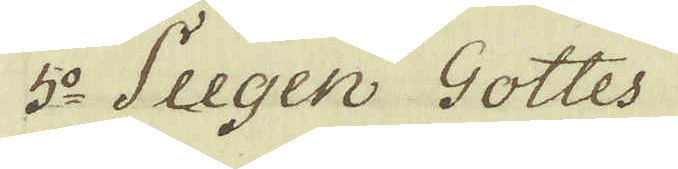5:o Seegen Gottes
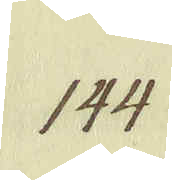144.
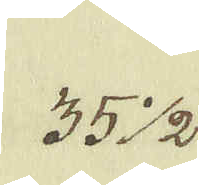35 1/2
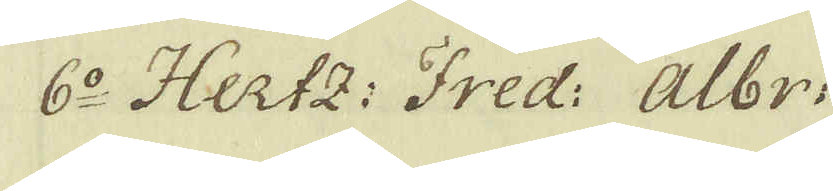6:o Hertz: Fred: Albr:
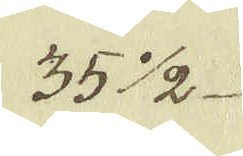35 1/2
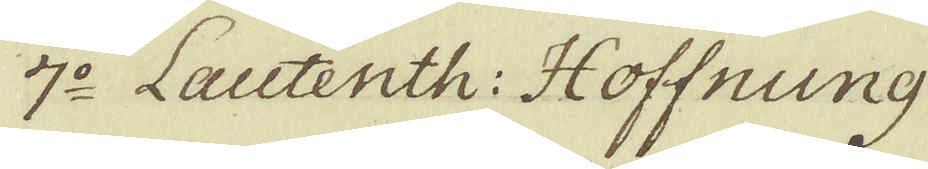7:o Lautenth: Hoffnung
